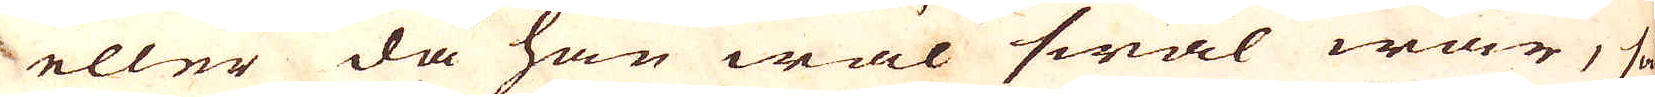eller då han wäl smal war, så
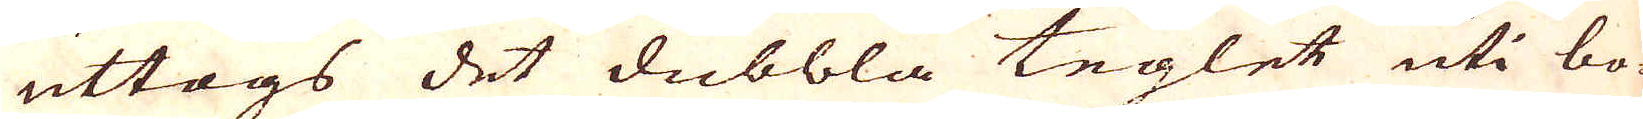uttogs det dubbla teglet uti bo-
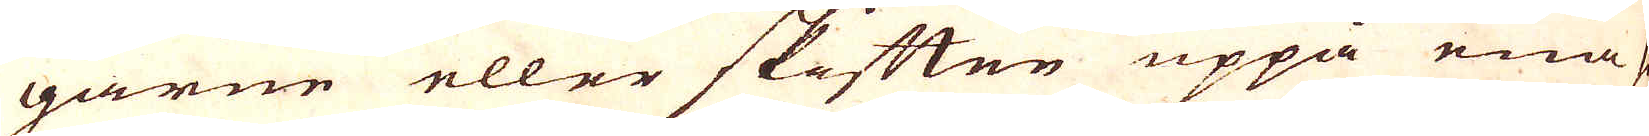garne eller skåtten uppå ena si-
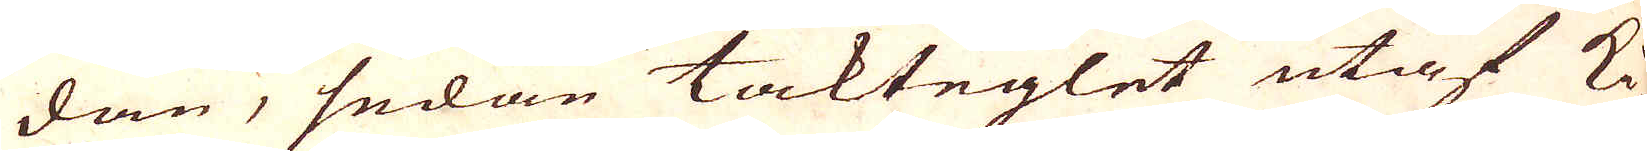dan, sedan takteglet utaf Ki-
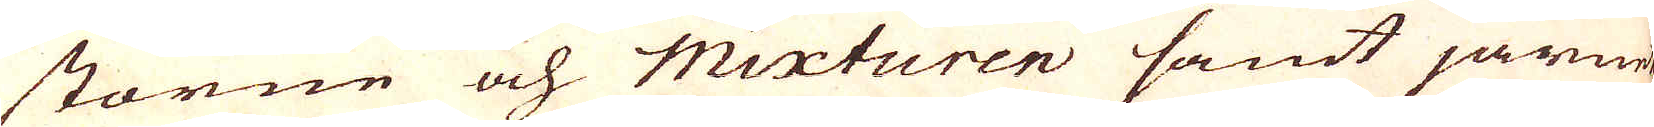storne och Mixturen samt järnet
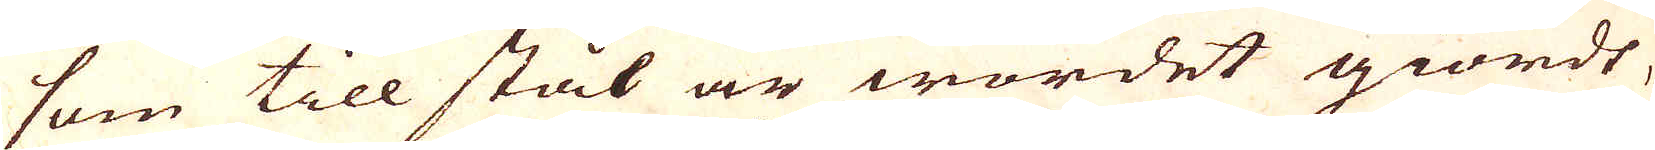som till stål är wordet giordt,
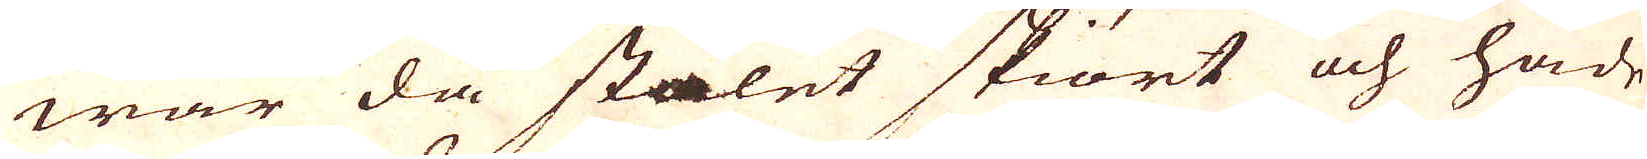war da stålet skiört och hade
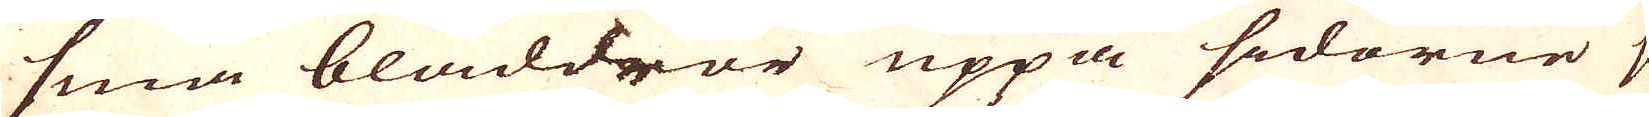små bläddror uppå sidorne så
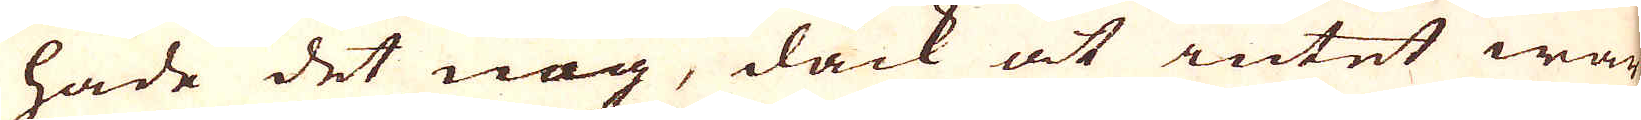hade det nog, dåck at intet war
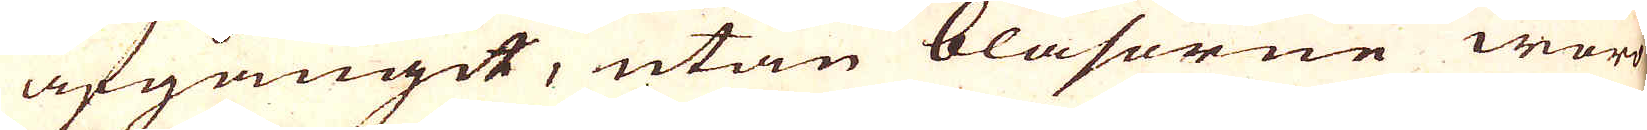afgångit, utan blåsorne woro
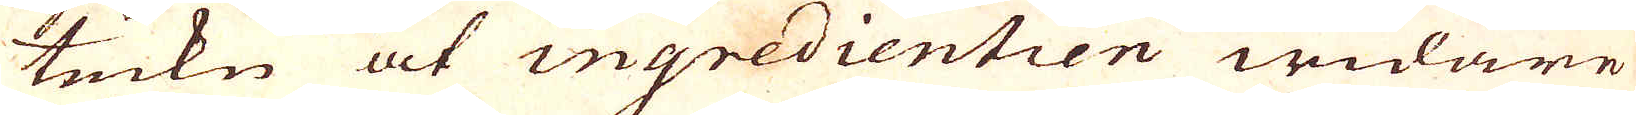teckn at ingredientien widare
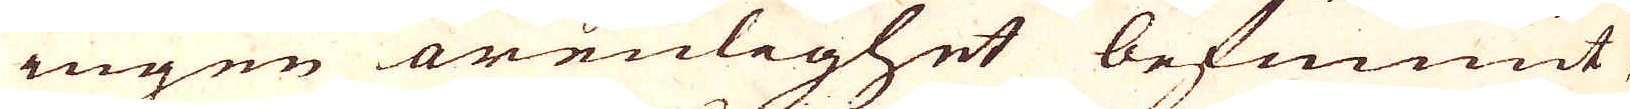ingen orenlighet befunnit
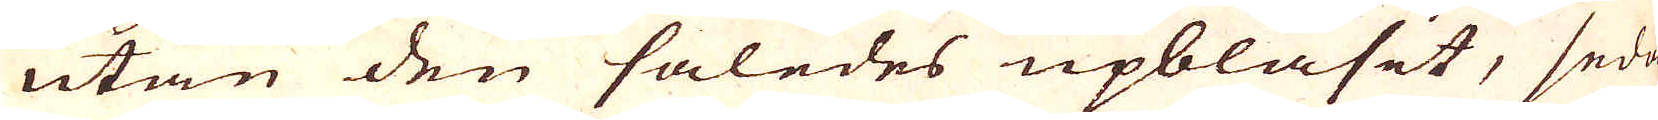utan den således upblåsit, sedan
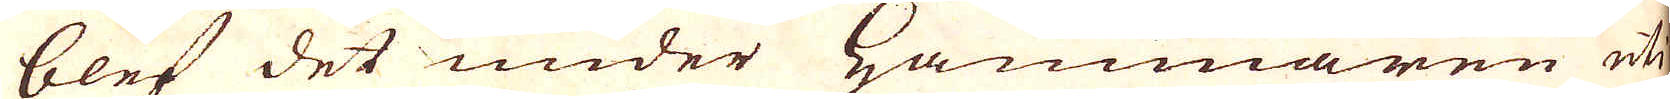blef det under Hammaren uti
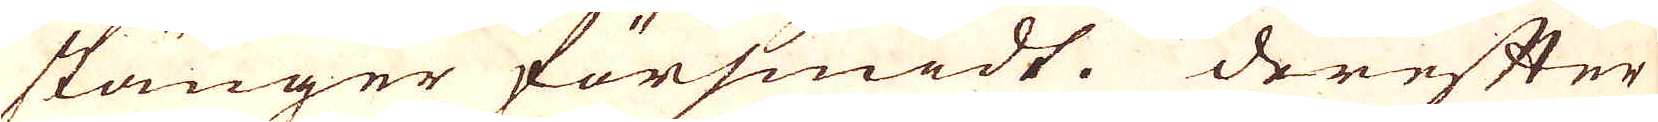stänger försmidt. Derefter
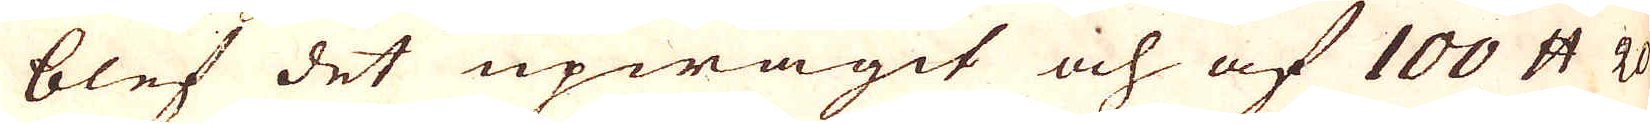blef det upwägit och af 100 skålpund 2o
